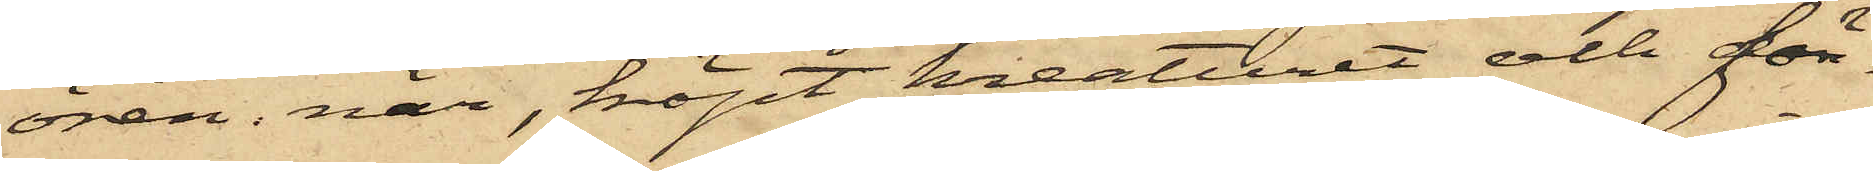ören när, köpt kreaturet och för
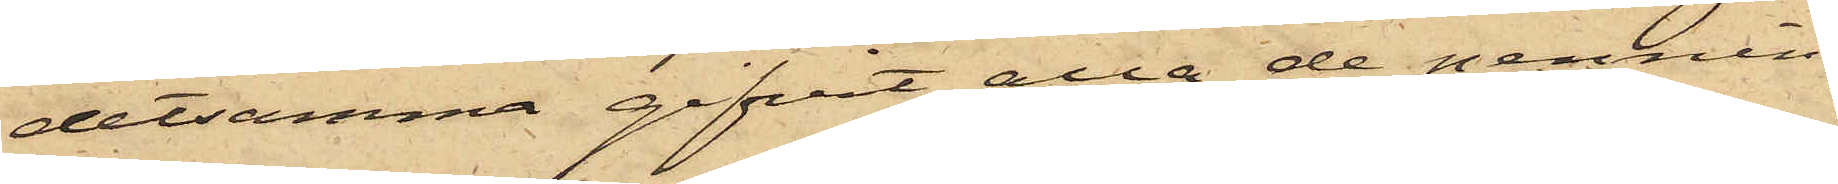detsamma gifvit alla de pennin¬
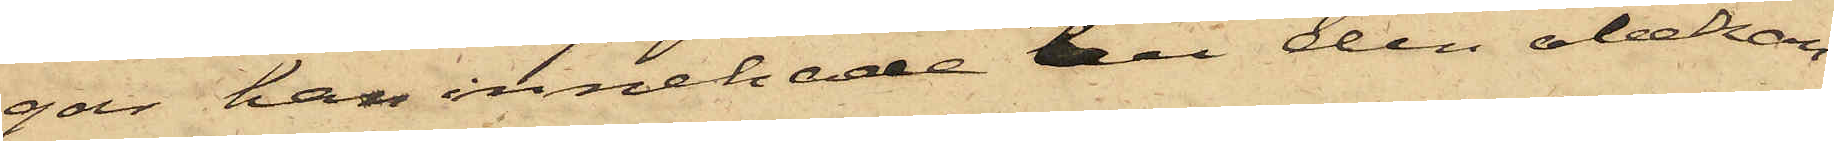gar han innehade till den obekan¬
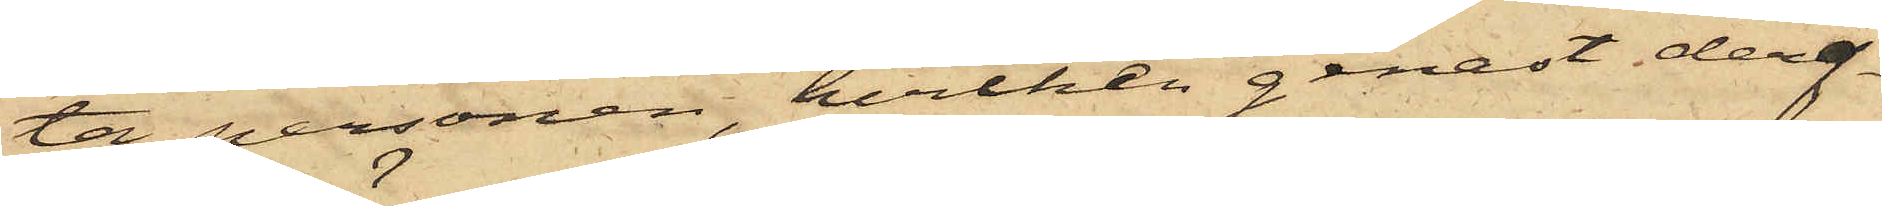ta personen, hvilken genast deref¬
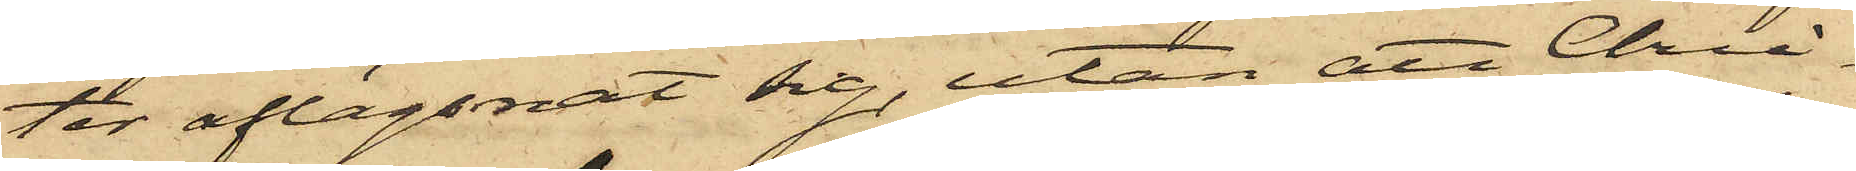ter aflägsnat sig, utan att Chri¬
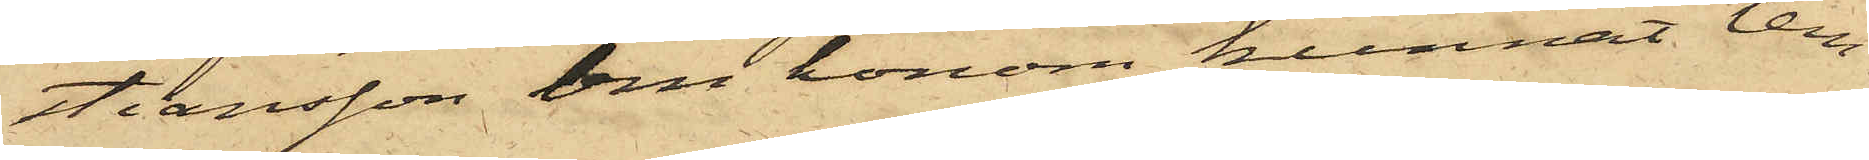stiansson om honom kunnat lem¬
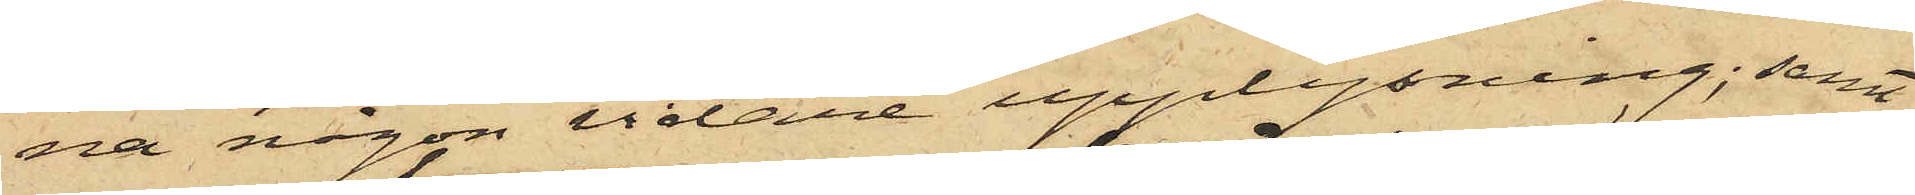na någon vidare upplysning; samt
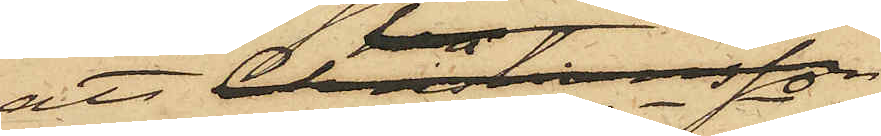att Christiansson
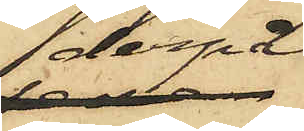derpå
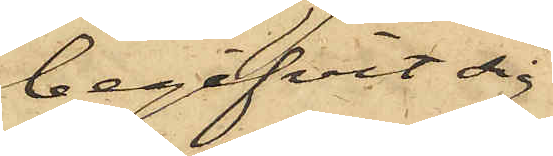begifvit sig
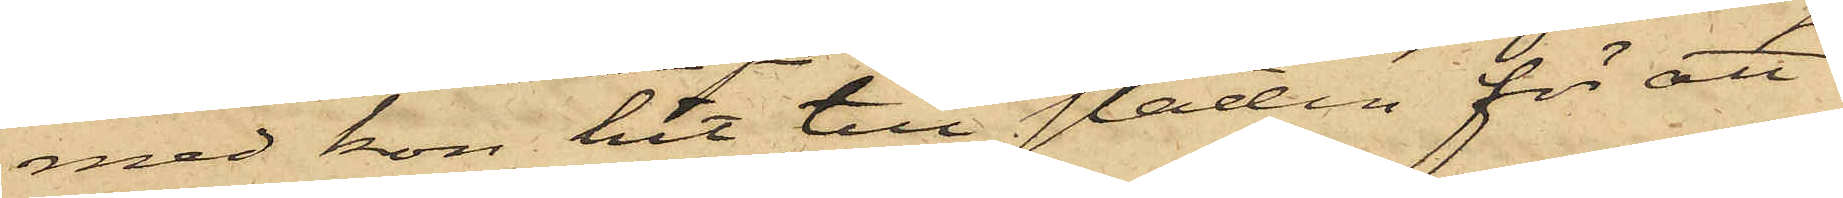med kon hit till staden för att
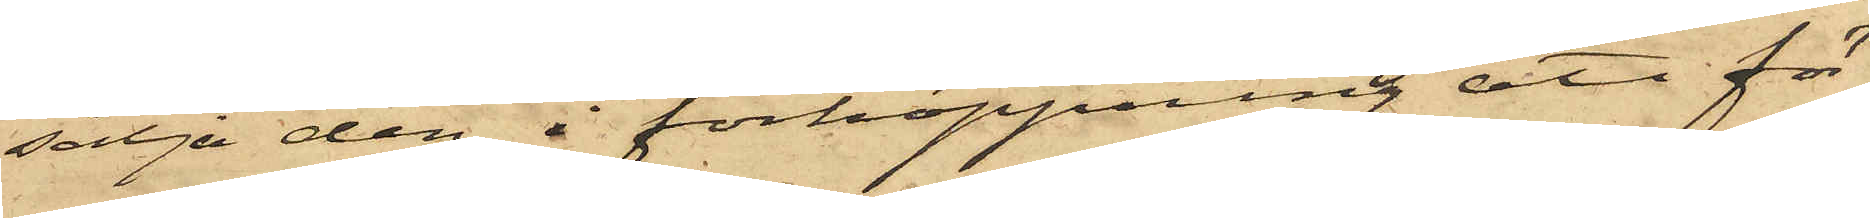sälja den, i förhoppning att för¬
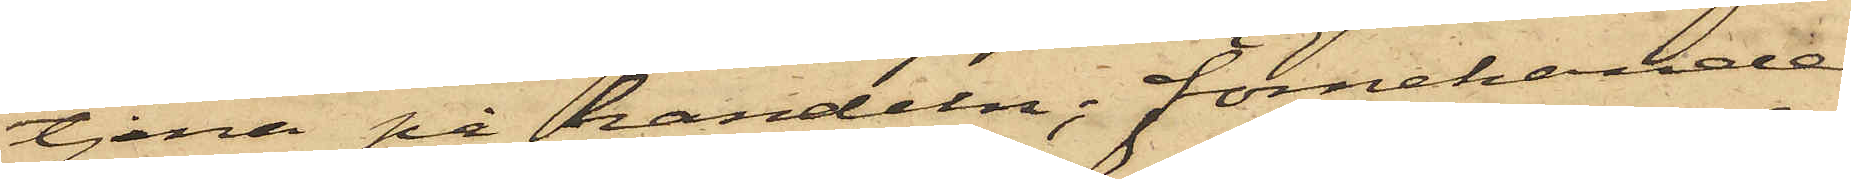tjena på handeln; förnekande
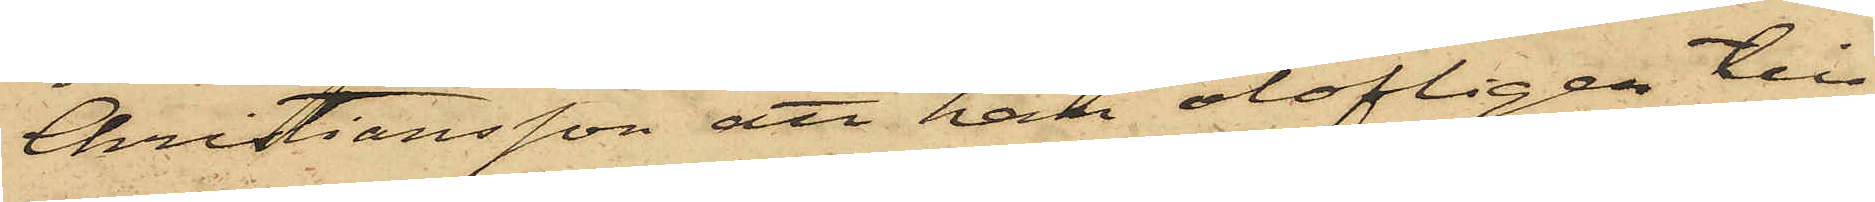Christiansson att han olofligen till¬
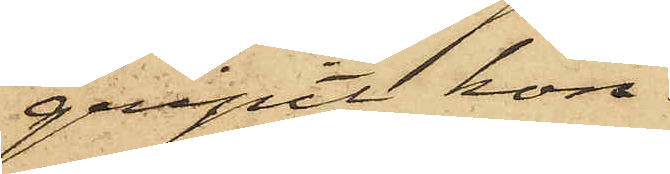gripit kon.
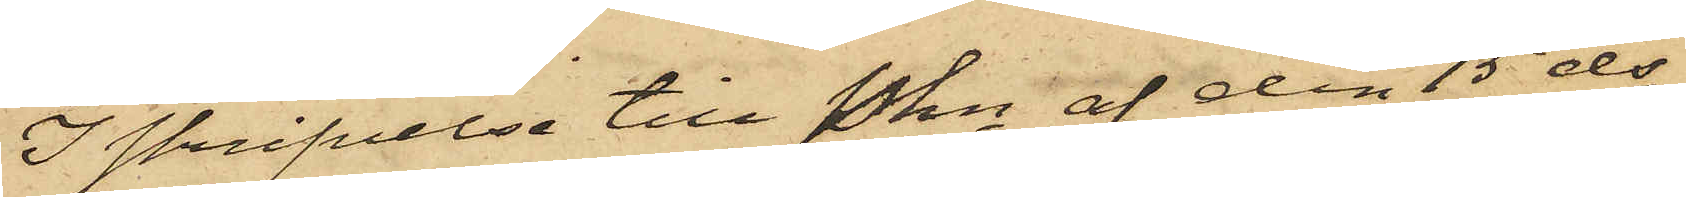I skrifvelse till Pkn af den 15 ds
